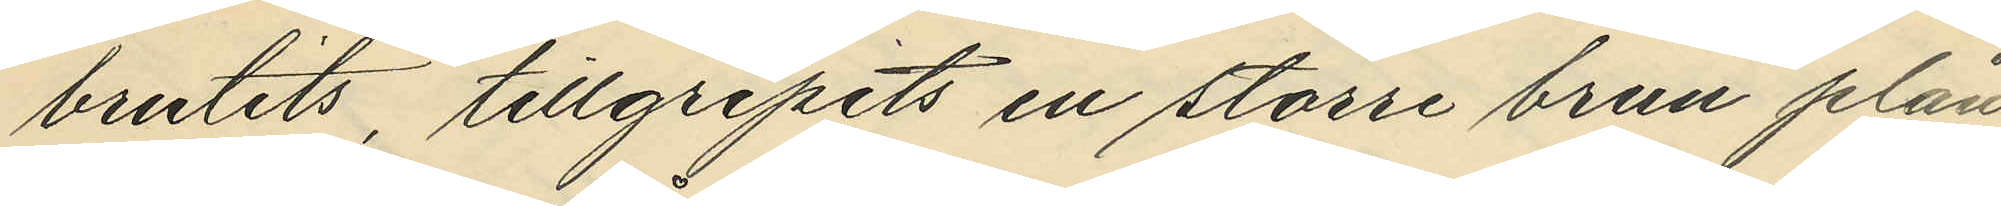brutits, tillgripits en större brun plån¬
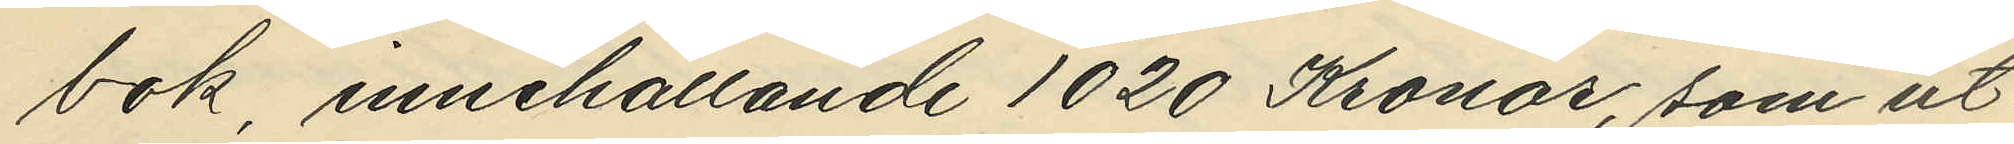bok innehållande 1020 Kronor, som ut¬
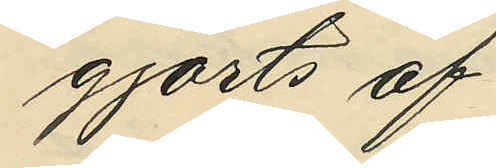gjorts af:
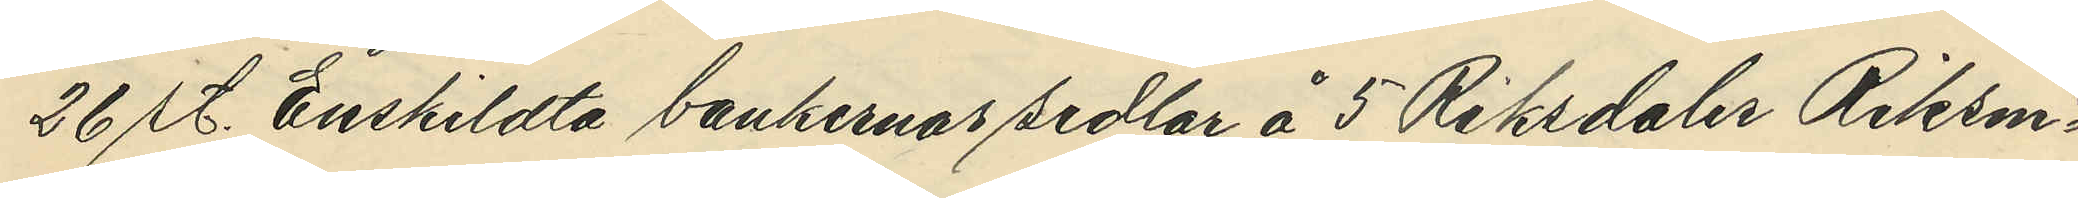26 st. Enskildta bankernas sedlar å 5 Riksdaler Riksmt
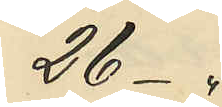26 -"
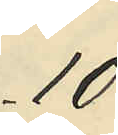10
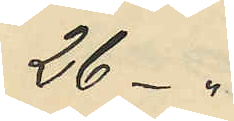26 -"
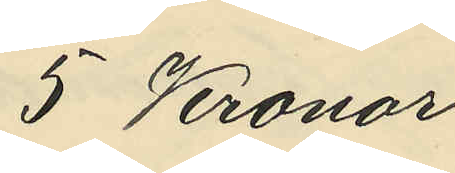5 Kronor
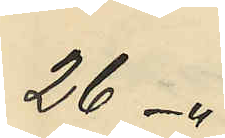26 -"
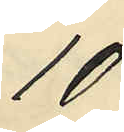10
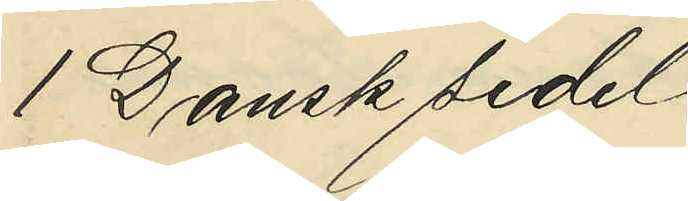1 Dansk sedel
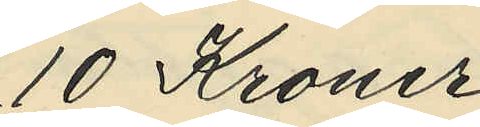10 Kroner
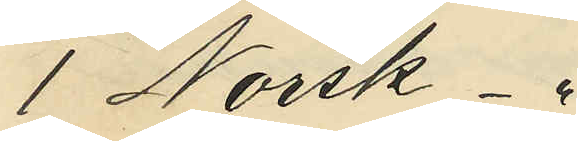1 Norsk  "
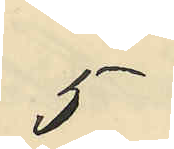5
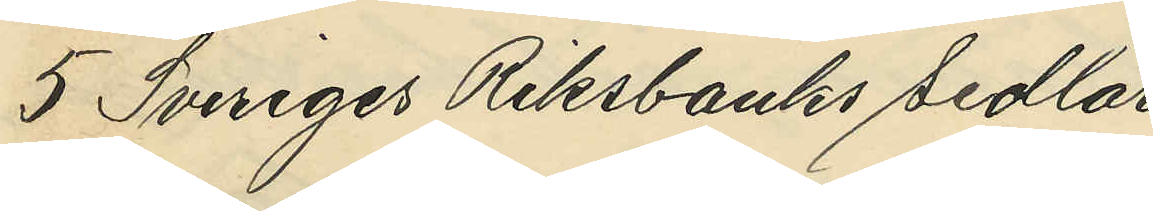5 Sveriges Riksbanks sedlar
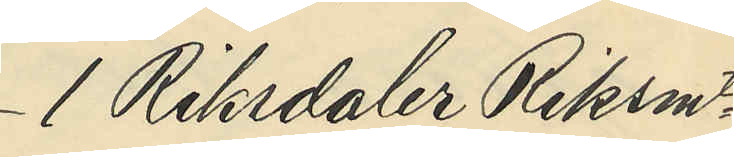1 Riksdaler Riksmt
